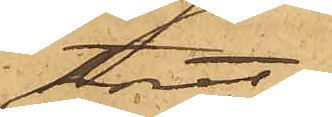toret.
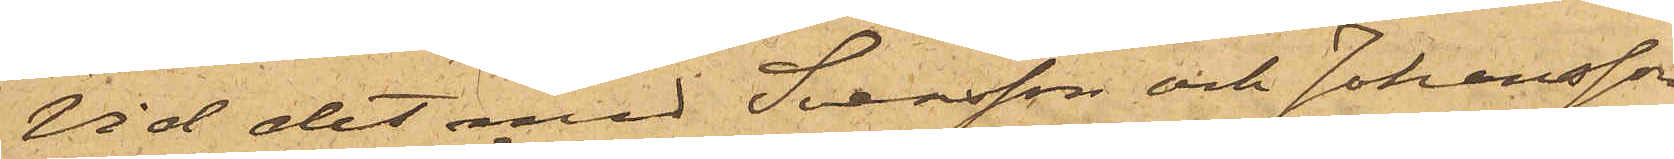Vid det med Svensson och Johansson
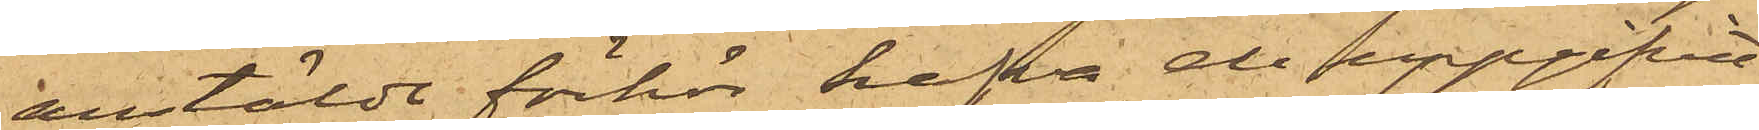anstälde förhör hafva de uppgifvit
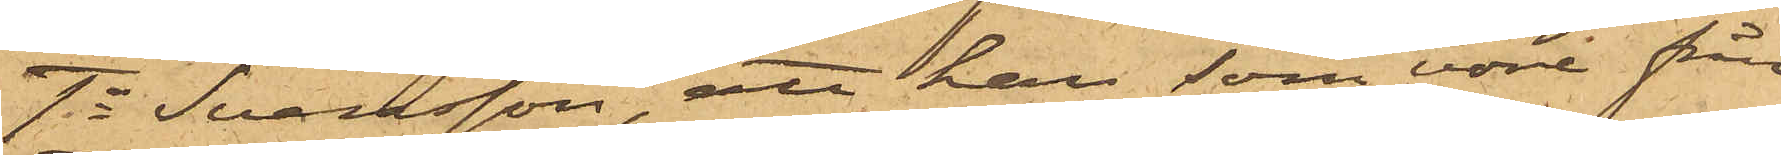1o Svensson, att han, som vore från
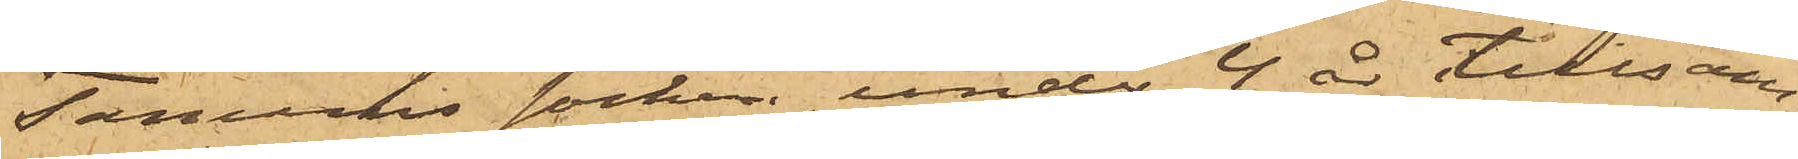Tanums socken, under 4 år tillsam¬
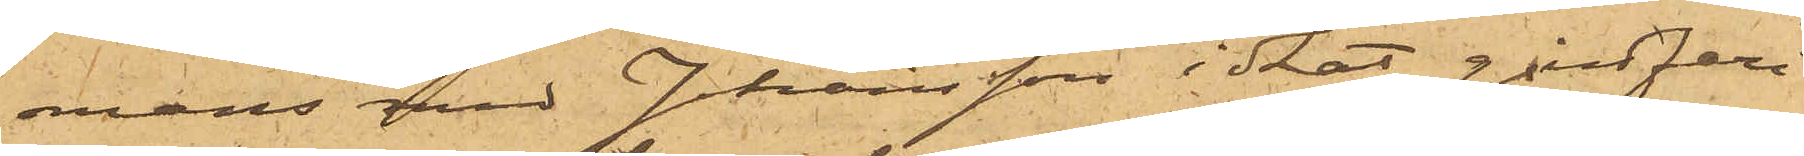mans med Johansson idkat gårdfari¬
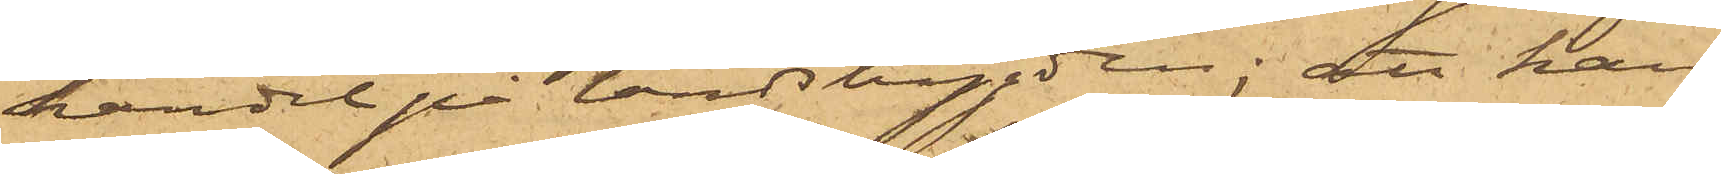handel på landsbygden; att han
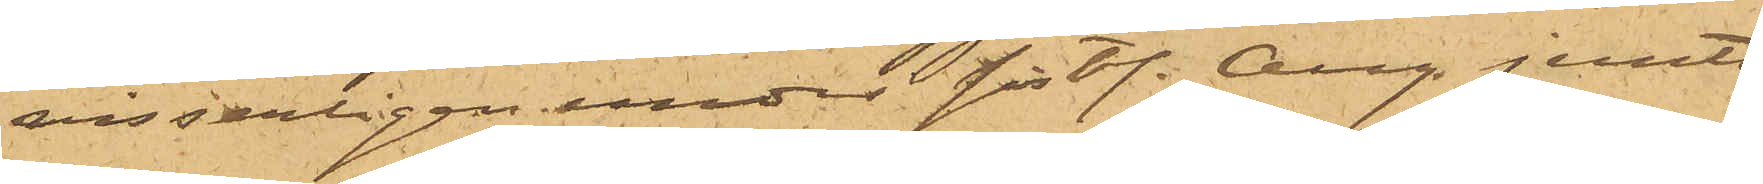visserligen under sist. Aug. jemte
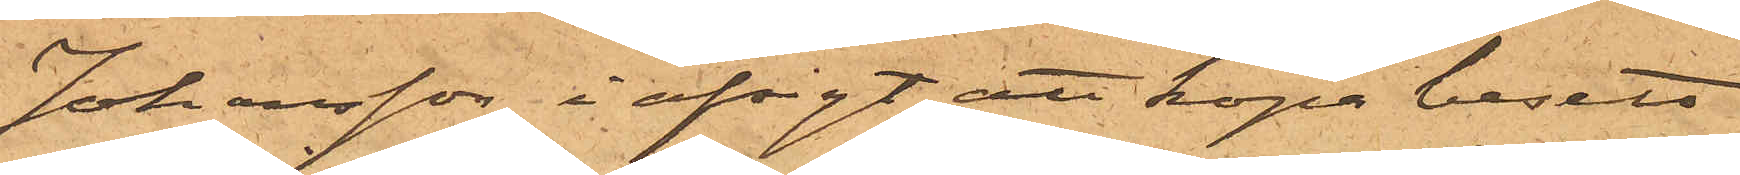Johansson i afsigt att köpa besett
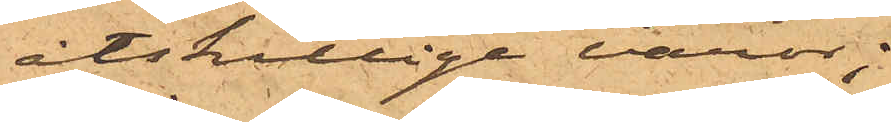åtskillige varor;
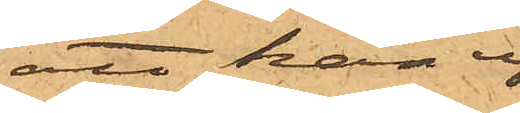att han ej
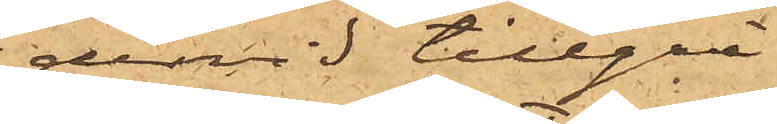dervid tillgri¬
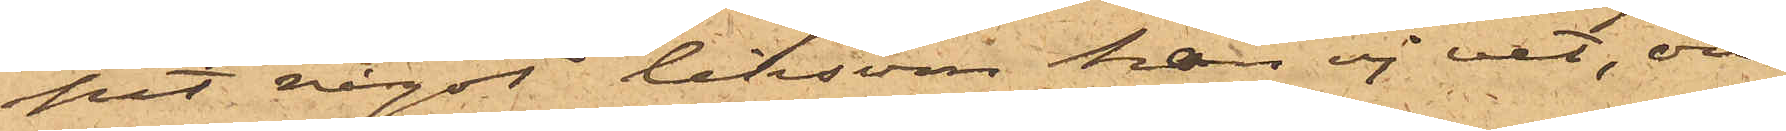pit något liksom han ej vet, om
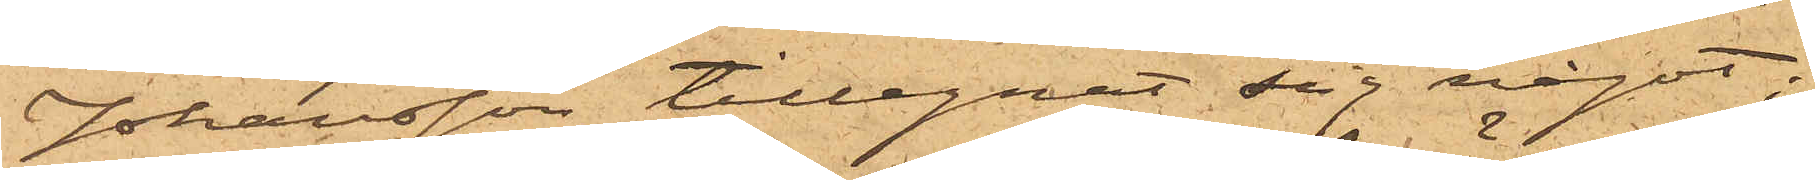Johansson tillegnat sig något;
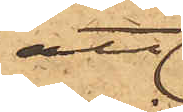att
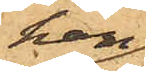han
